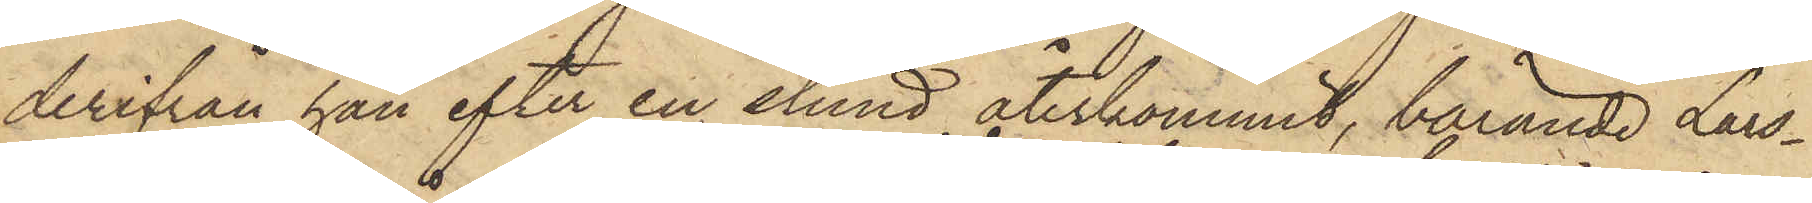derifrån han efter en stund återkommit, bärande Lars¬
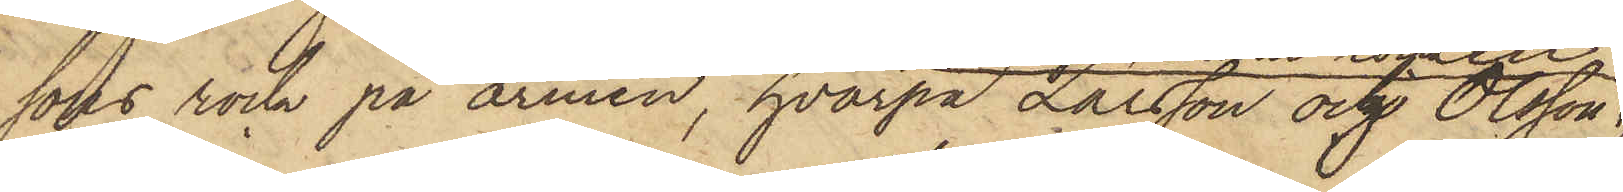sons rock på armen, hvarpå Larsson och Olsson
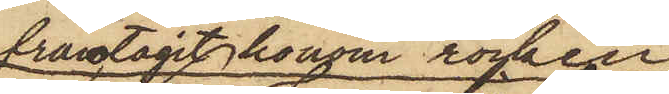fråntagit honom rocken
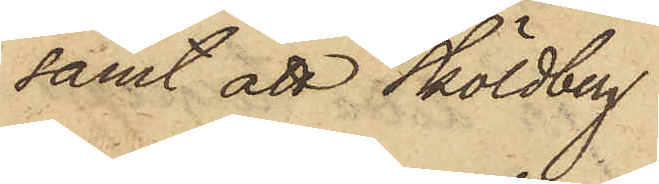samt att Sköldberg
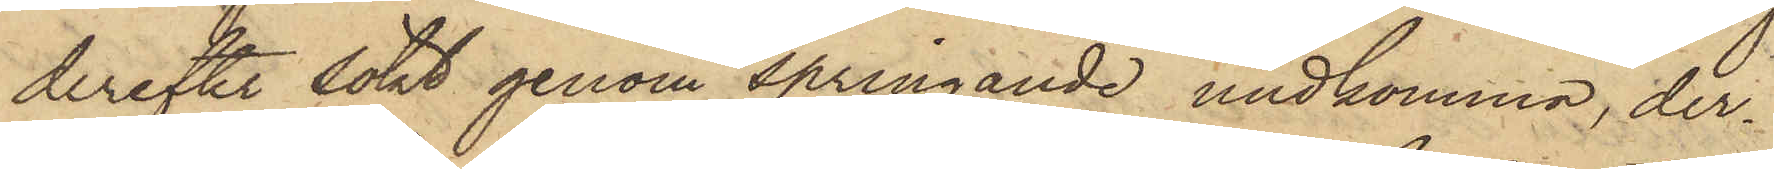derefter sökt genom springande undkomma, der¬
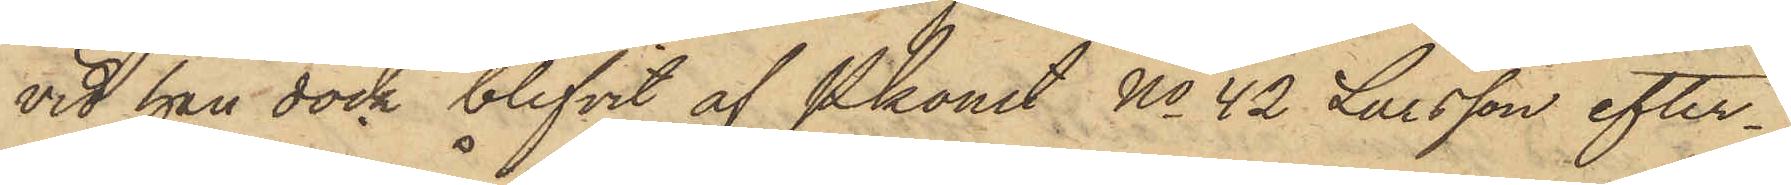vid han dock blifvit af Pkonst No 42 Larsson efter¬
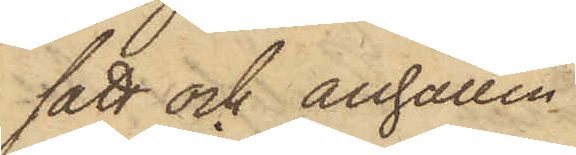satt och anhållen.
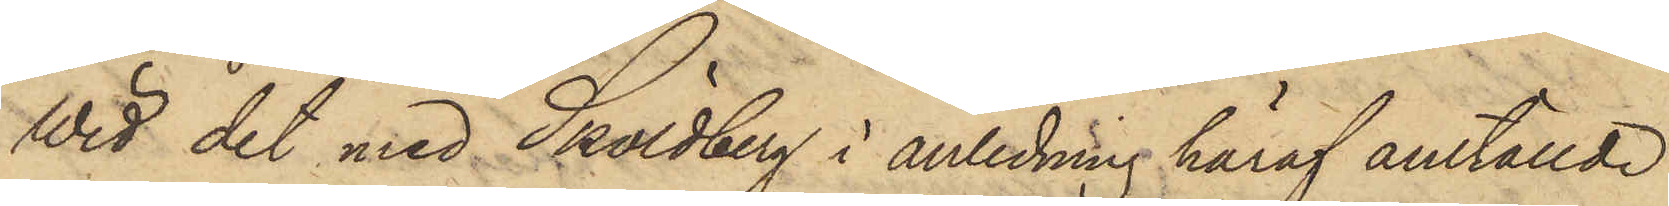Wid det med Sköldberg i anledning häraf anställde
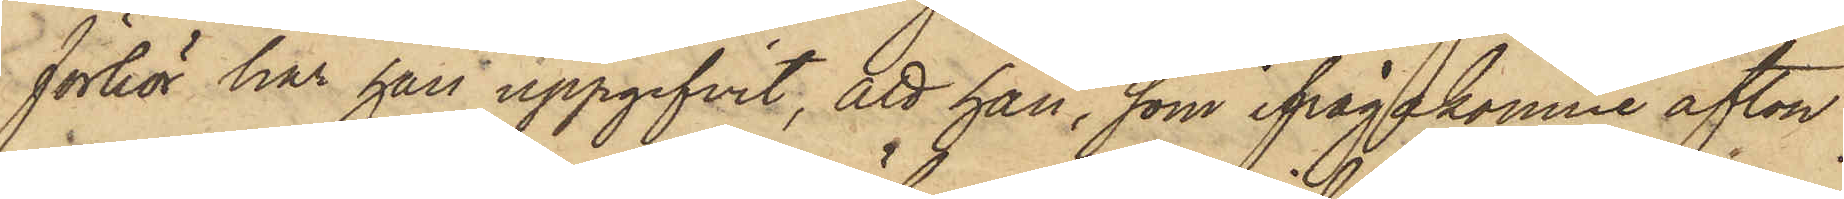förhör har han uppgifvit, att han, som ifrågakomne afton
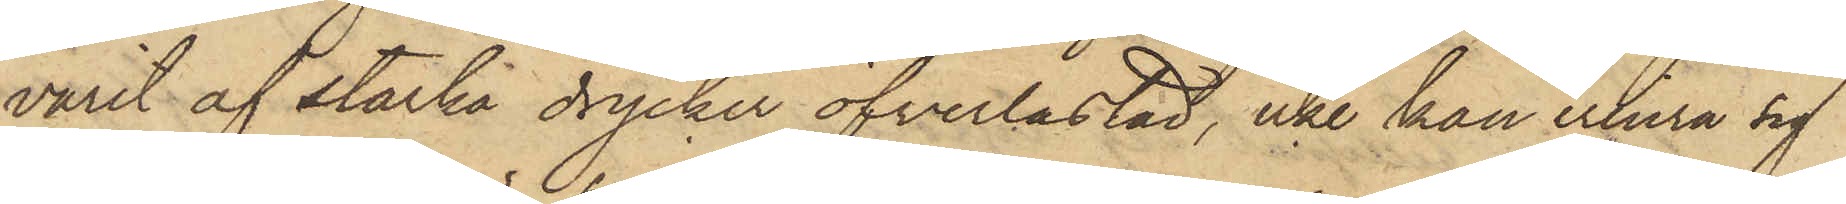varit af starka drycker öfverlastad, icke kan erinra sig
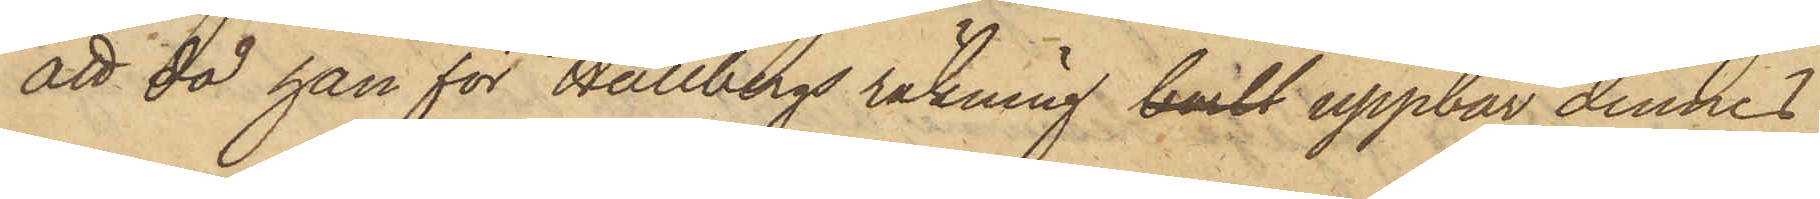att då han för Hallbergs räkning bortl uppbar dennes
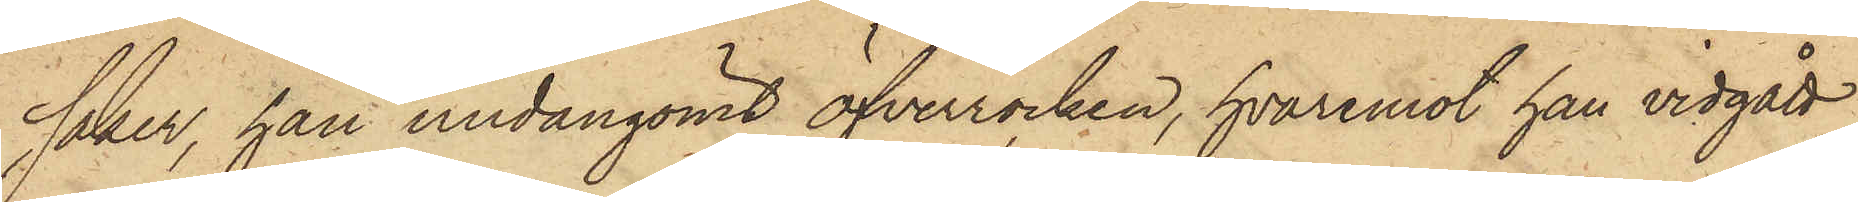saker, han undangömt öfverrocken, hvaremot han vidgått,
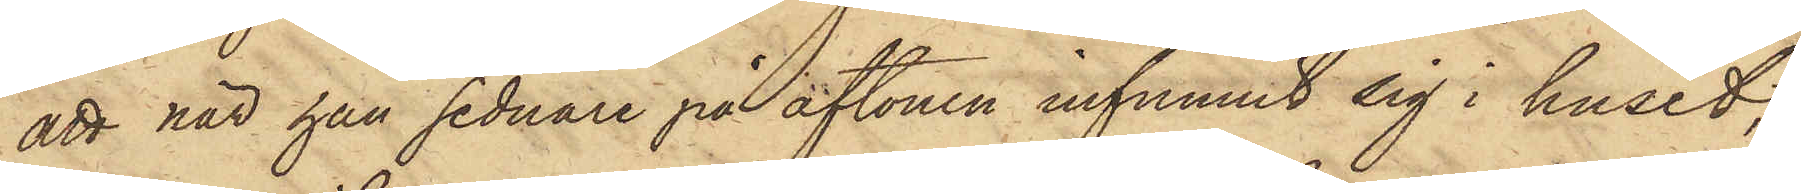att när han sednare på aftonen infunnit sig i huset,
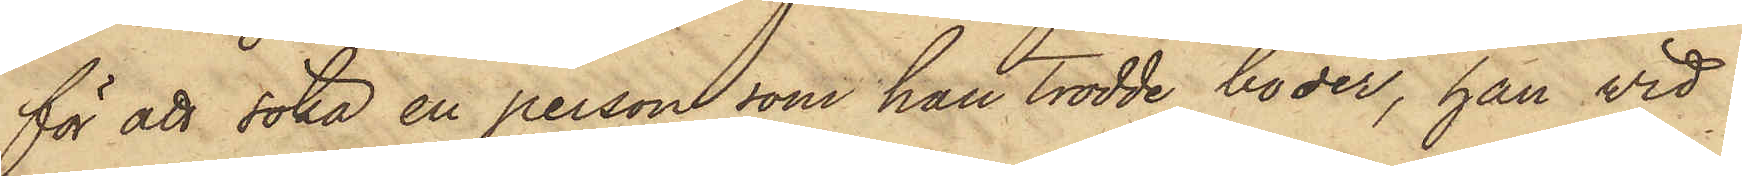för att söka en person som han trodde bo der, han vid
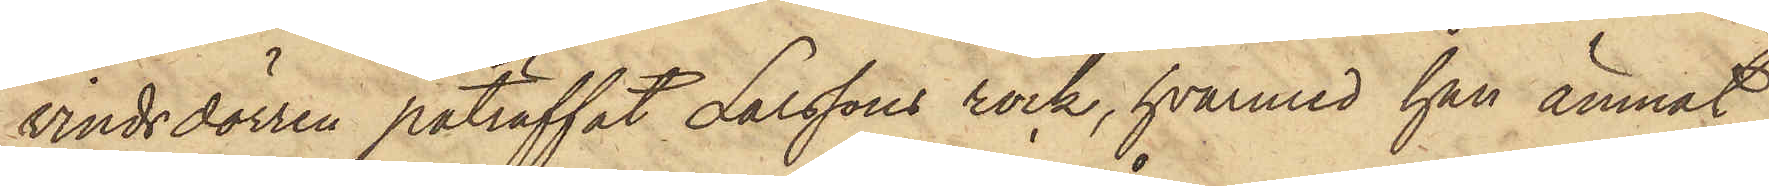vindsdörren påträffat Larssons rock, hvarmed han ämnat
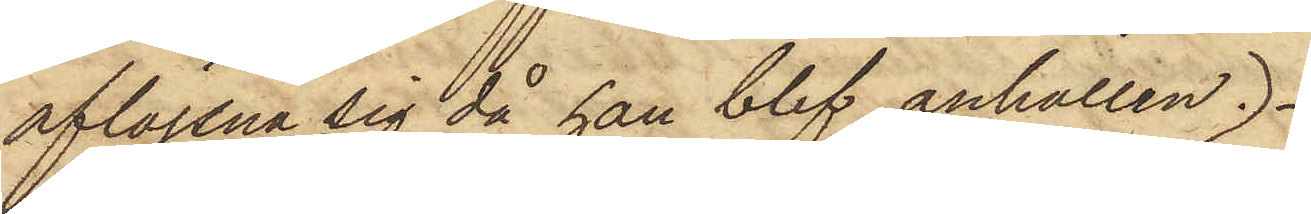aflägsna sig då han blef anhållen.
